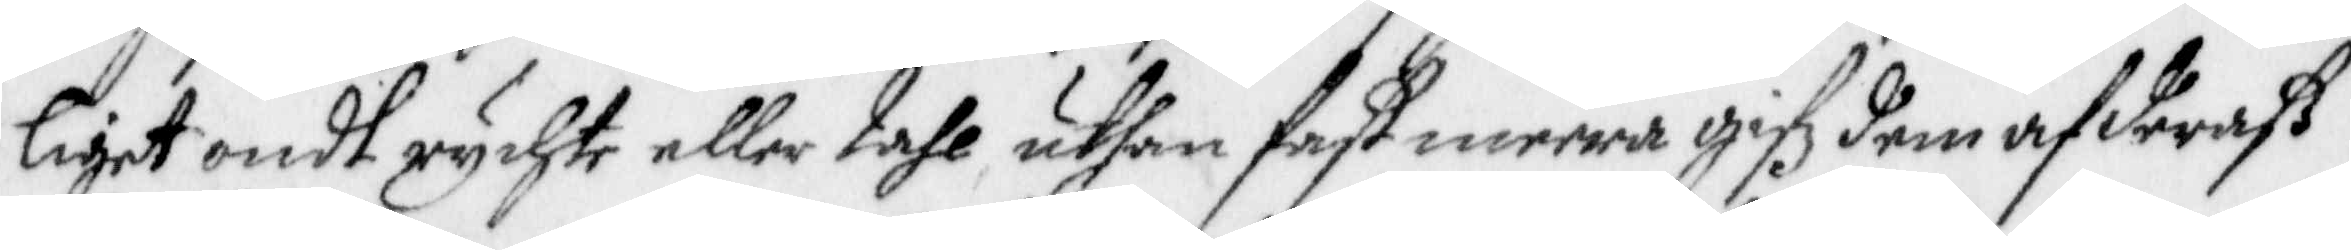ligit ondt rychte eller tahl, uthan fast meera gifz dem af deraß
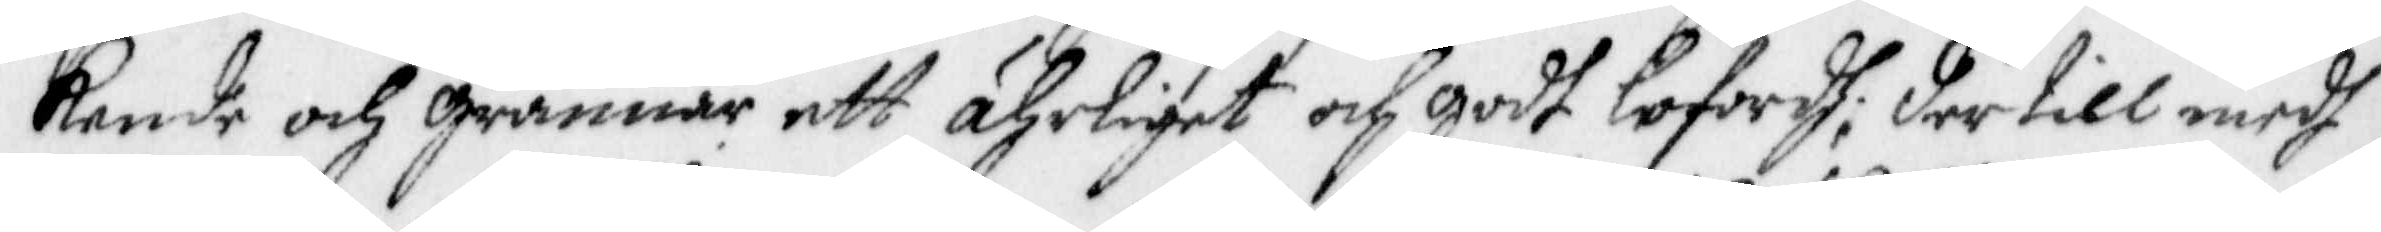kende och grannar ett ährliget och godt lofordh, der till medh
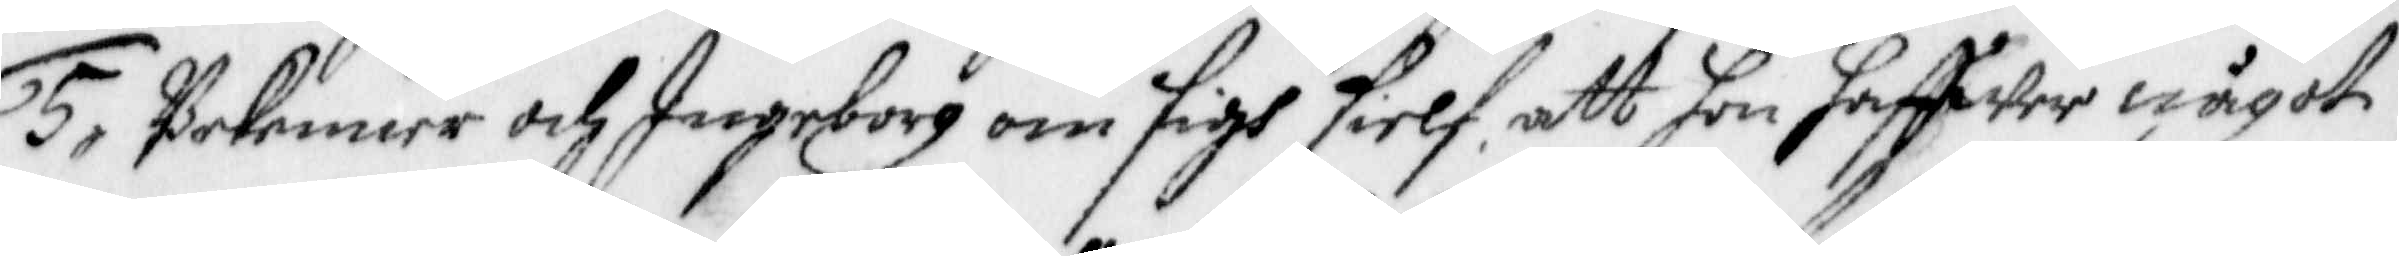5. Bekenner och Ingeborg om sigh sielf, att hon haffwer något
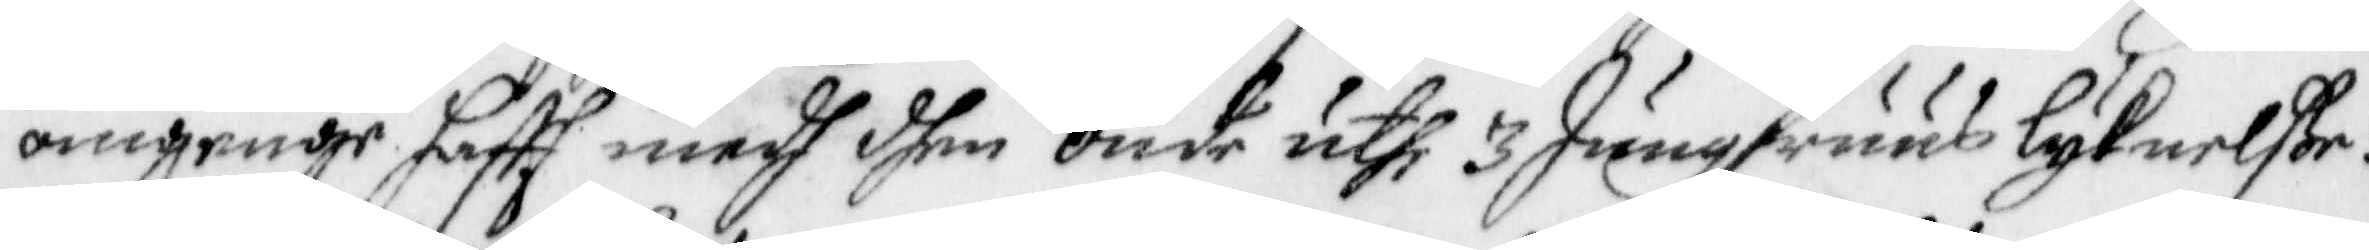omgänge hafft medh dhen onde uthi 3 Jungsfruus lyknelße:
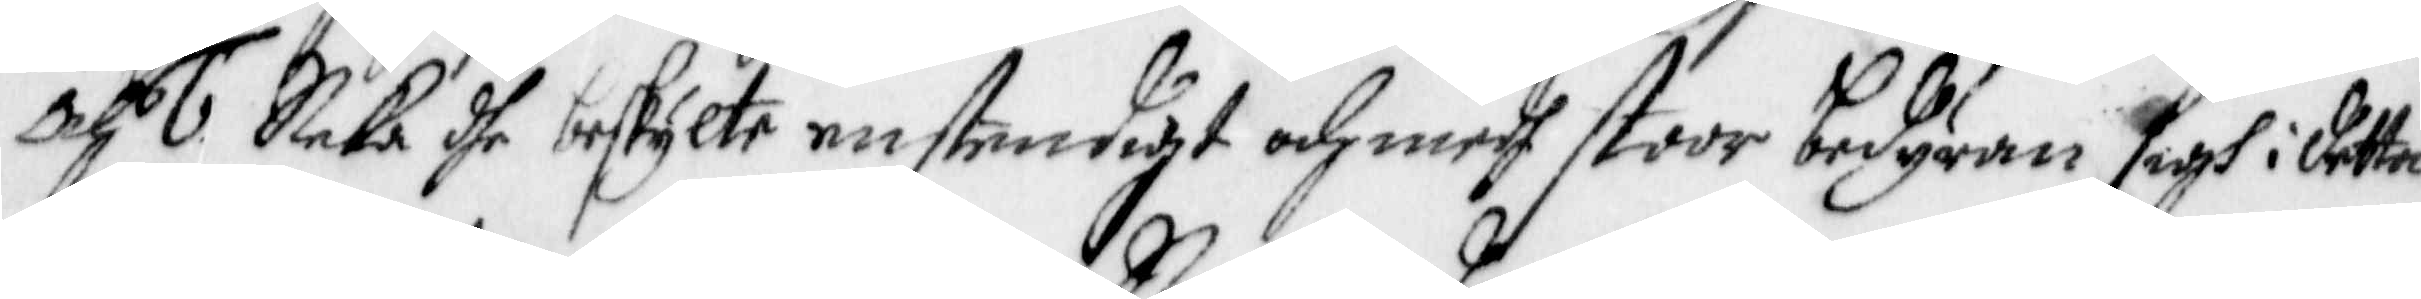och 6 Neka dhe beskylte enstendigt och medh stoor bedyran sigh i detta
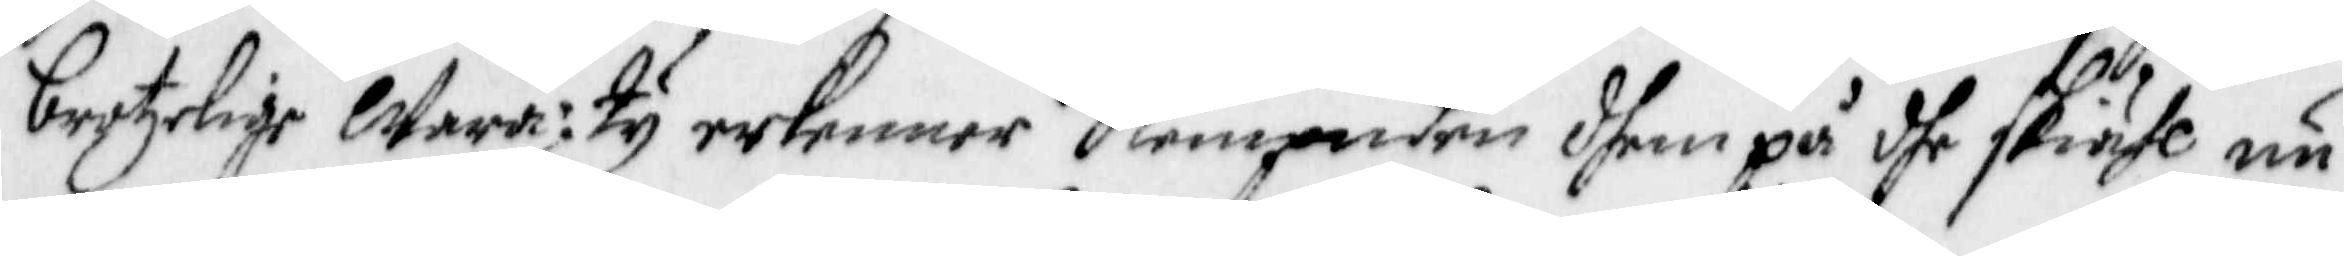brotzelige Wara: Ty erkenner Nempnden dhem på dhe skiähl nu
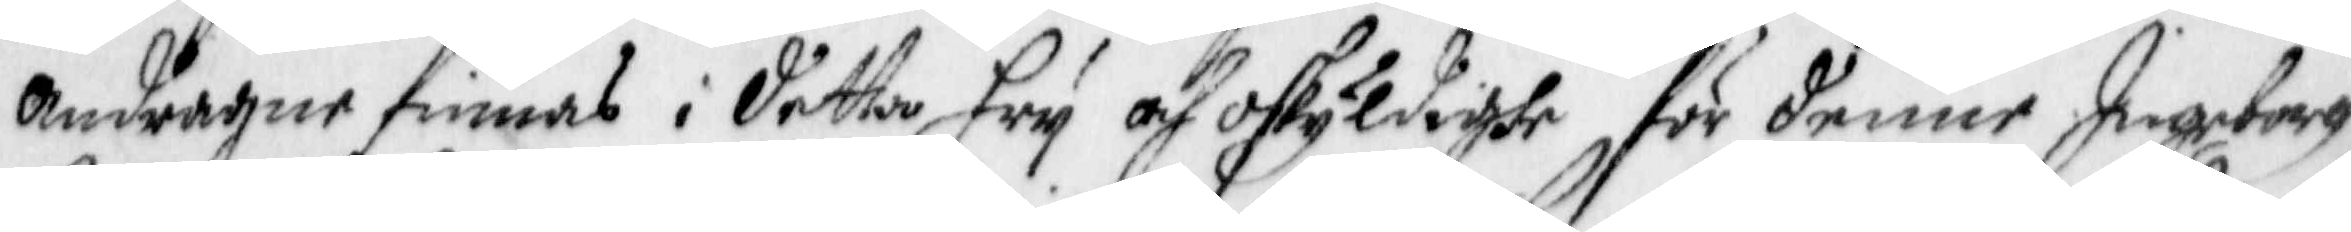andragne finnas i detta Fry och oskyldighe för denne Ingeborg
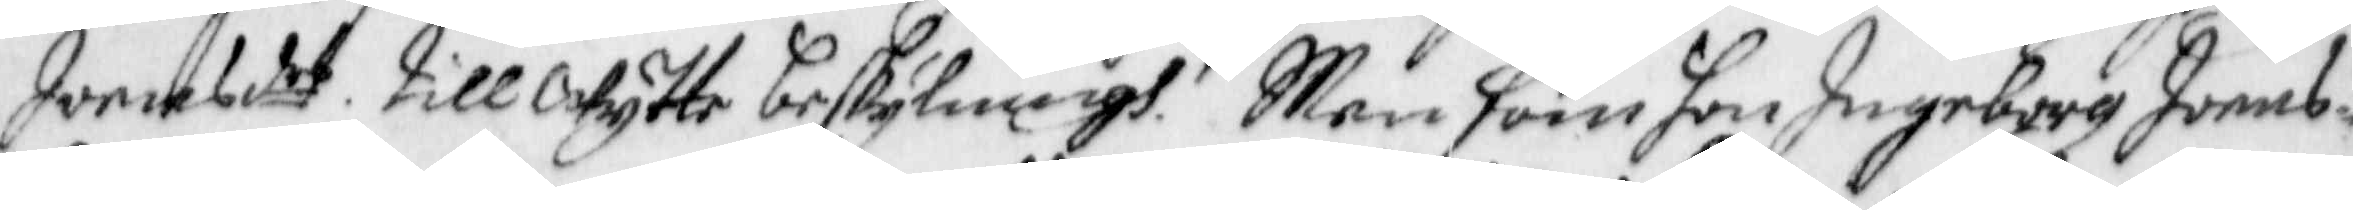Joensder till Wytte beskyllningh. Men som hon Ingeborg Joens¬
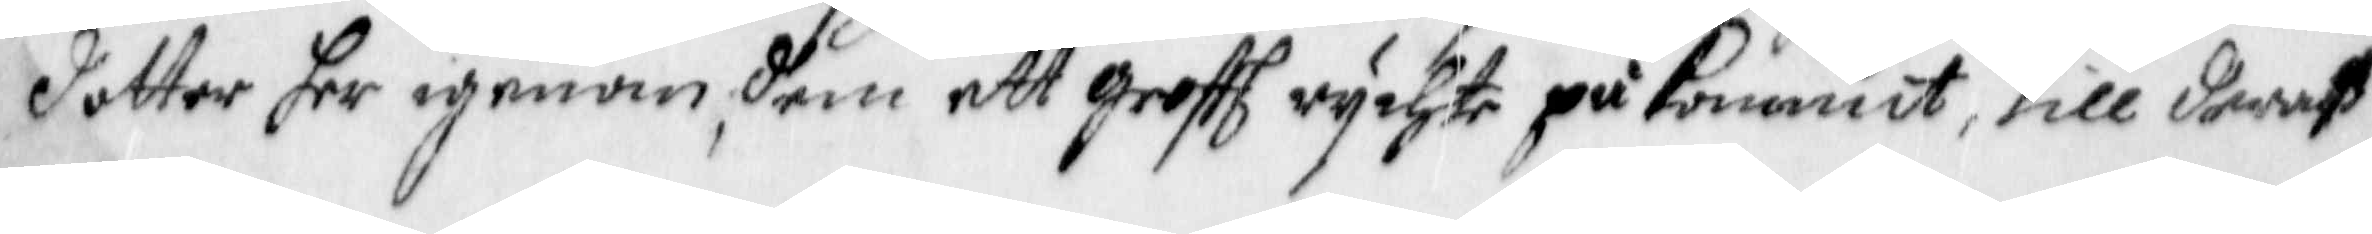dotter har igenom dem ett grofft rychte påkommit, till deras
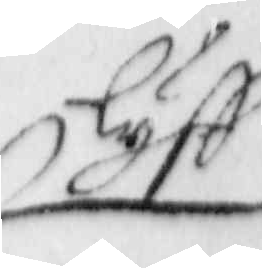lyff
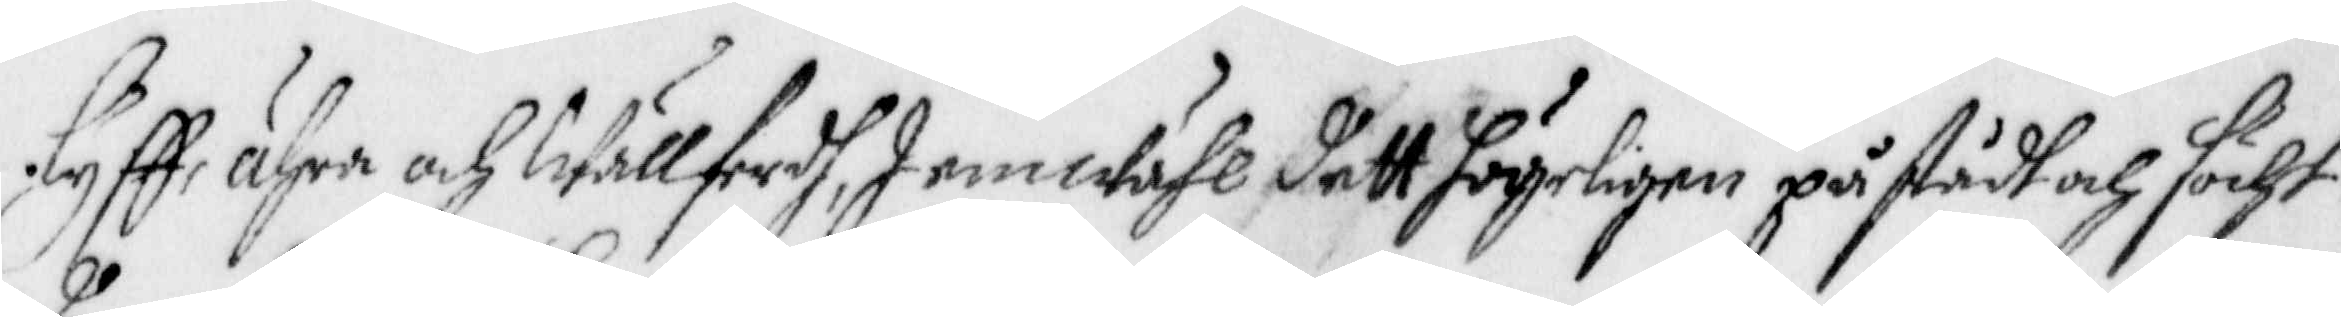lyff, ähra och Wällferdh, Jemwähl dett högeligen påstådh och söcht
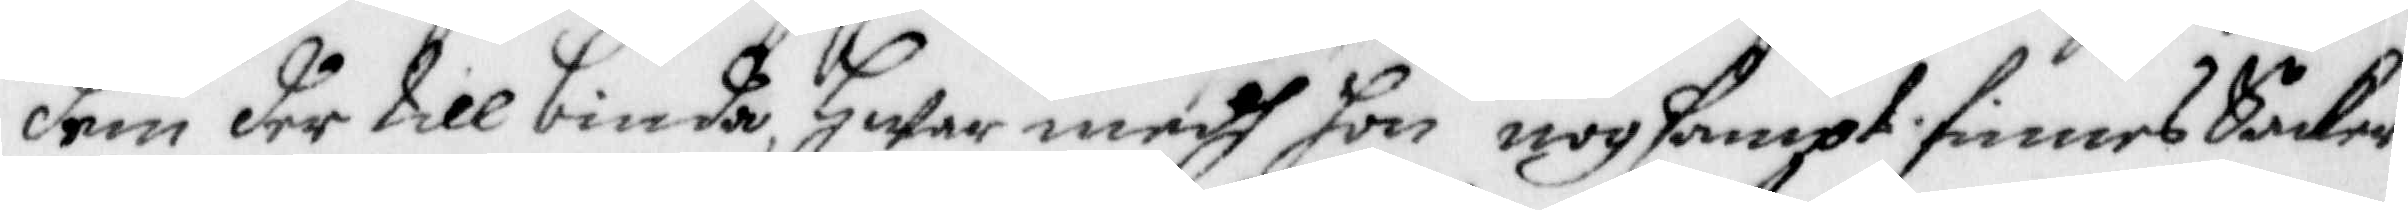dem der till binda, Hwar medh hon nogsampt finnes Saker
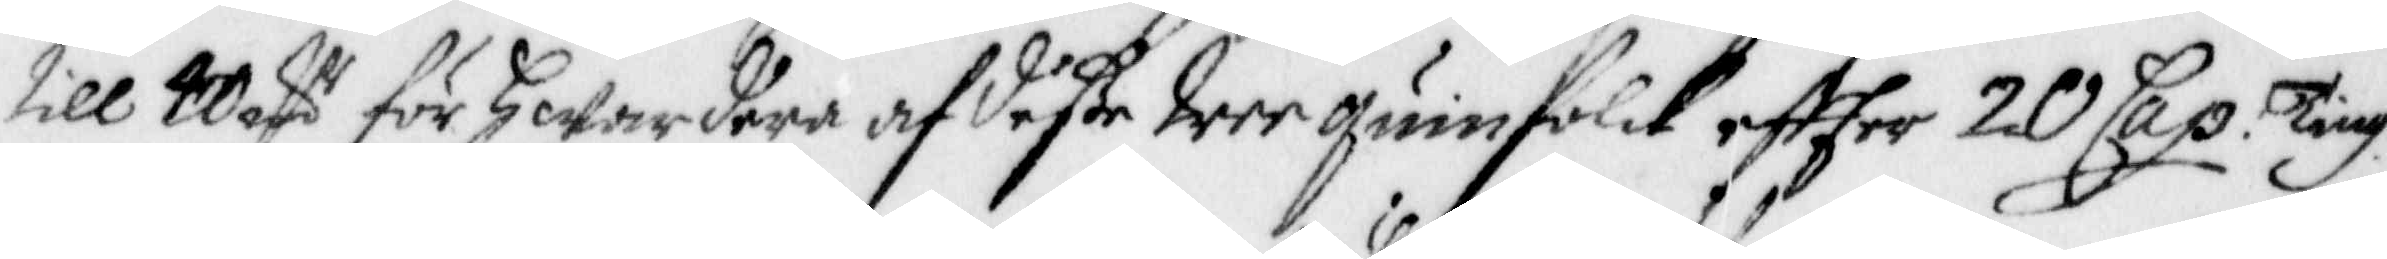till 40 R för Hwardera af deße tree quinnfolck eftter 20 Cap. Ting.
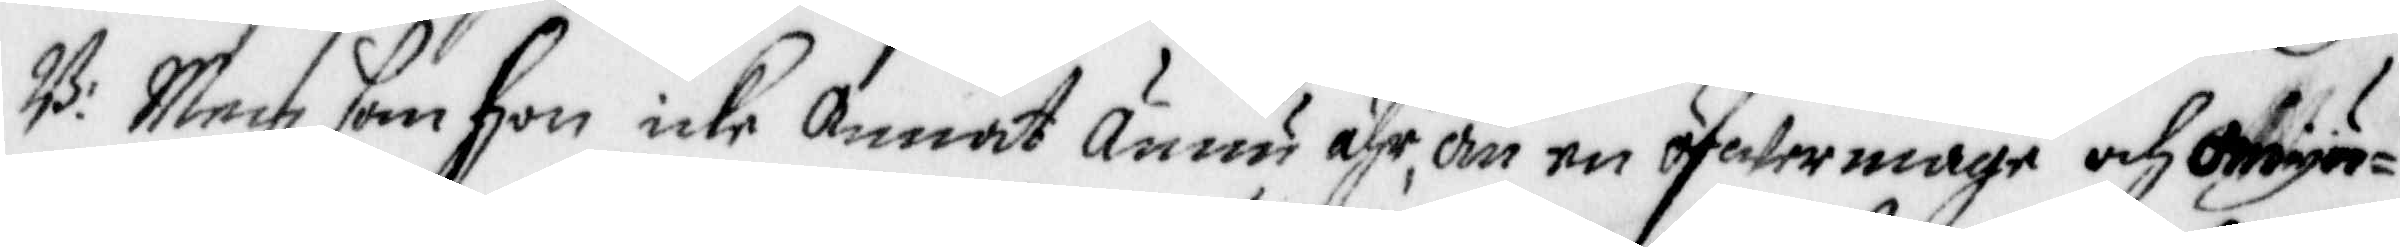B: Men som hon icke annat ännu ähr, än en öfwermage och omyn¬
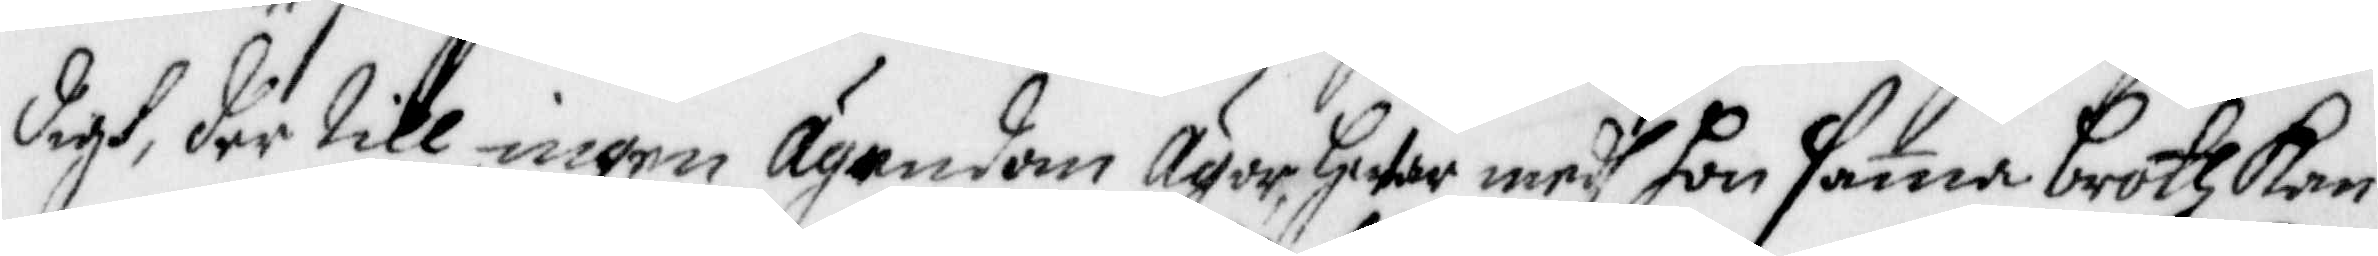digh, der till ingen ägendom ägor, Hwar medh hon sama broth kan
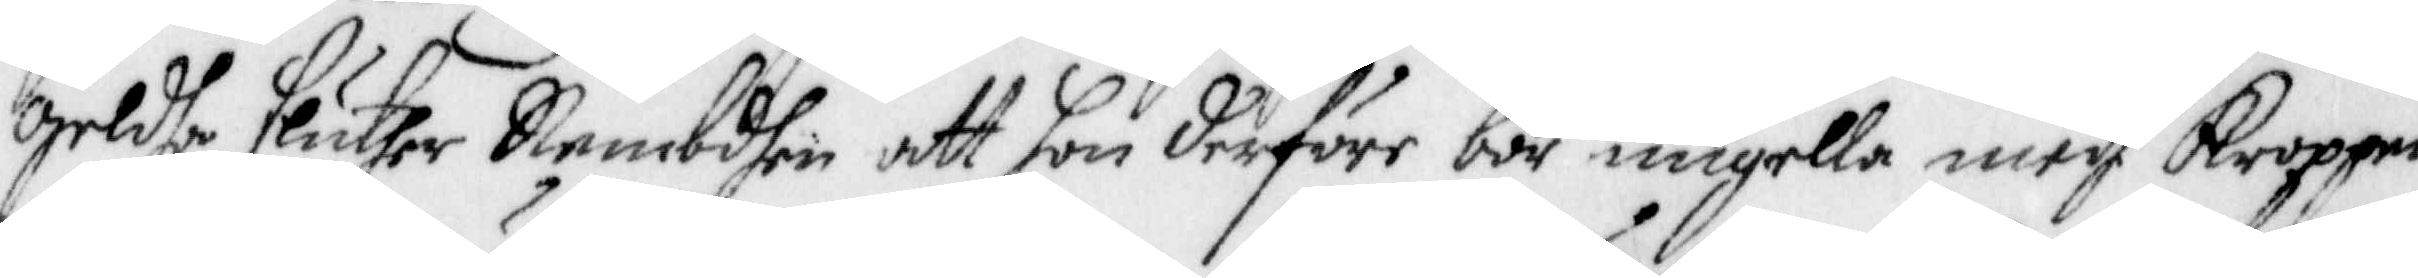geldhe, sluther Nembdhen att hon derföre bör umgella medh Kroppen,
